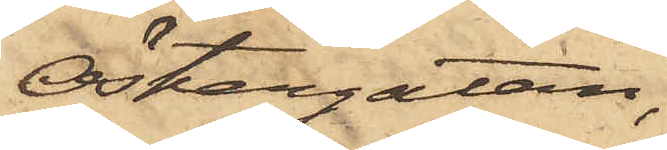Östergatan,
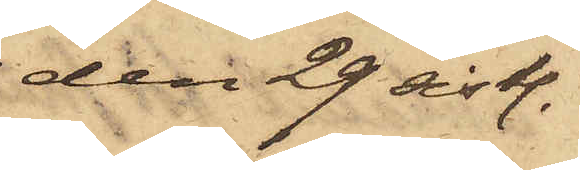den 29 sistl.
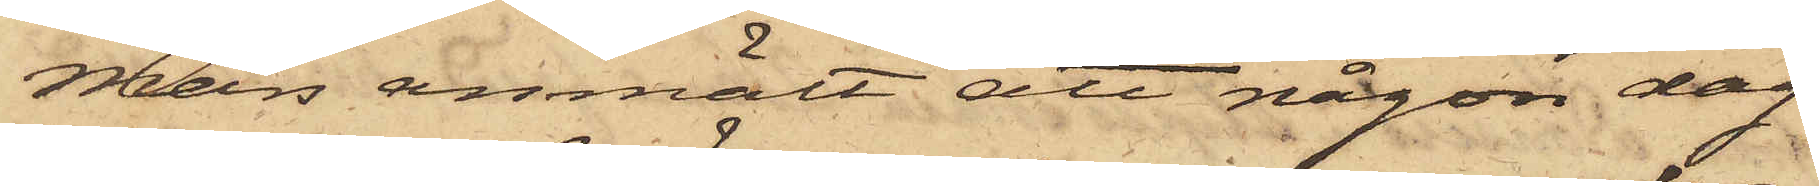Mars anmält att någon dag
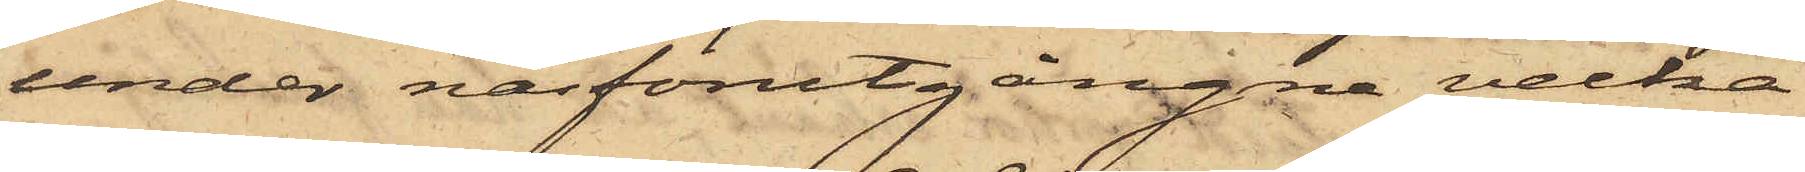under näsförutgångne vecka
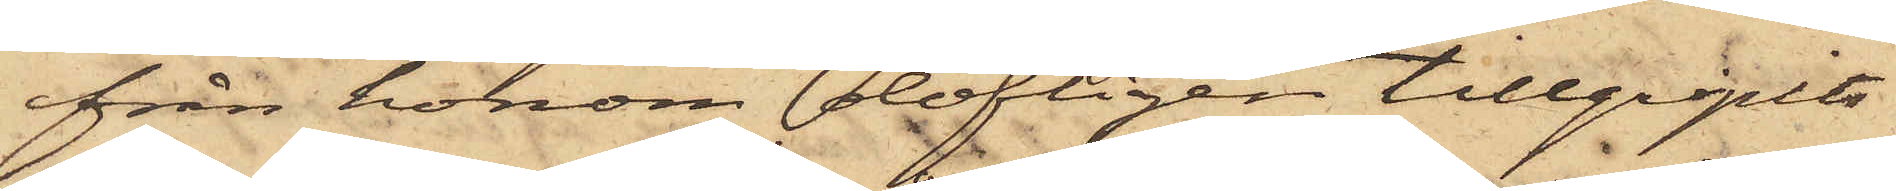från honom olofligen tillgripits
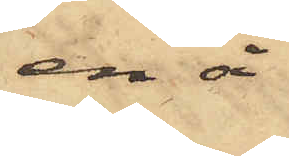en å
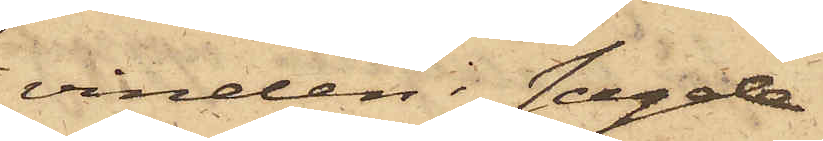vinden i sagde
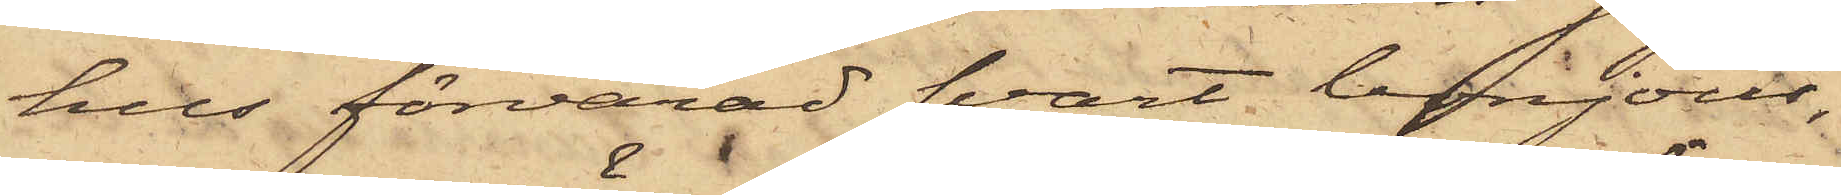hus förvarad svart bonjour,
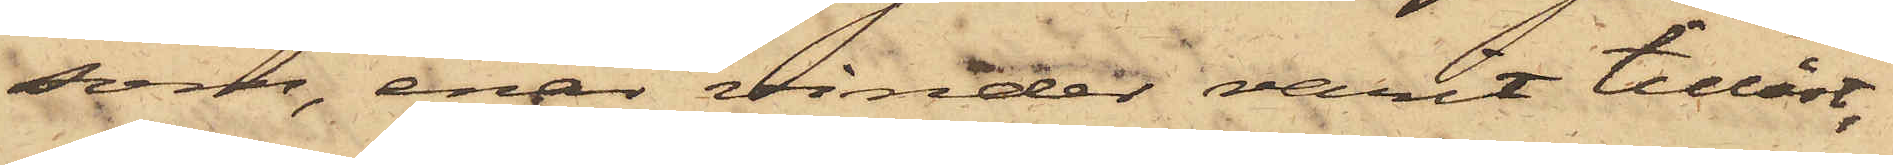som, enär vinden varit tillåst,
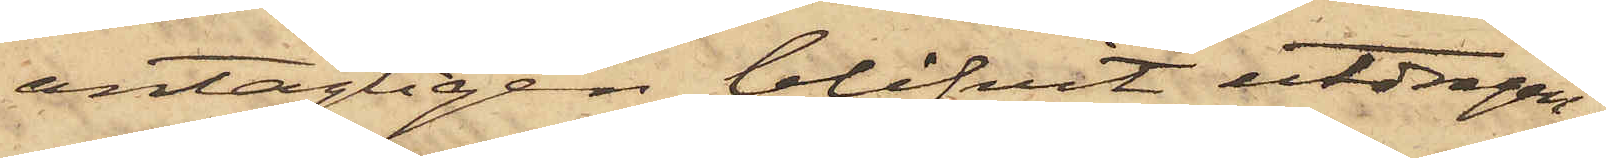antagligen blifvit utdragen
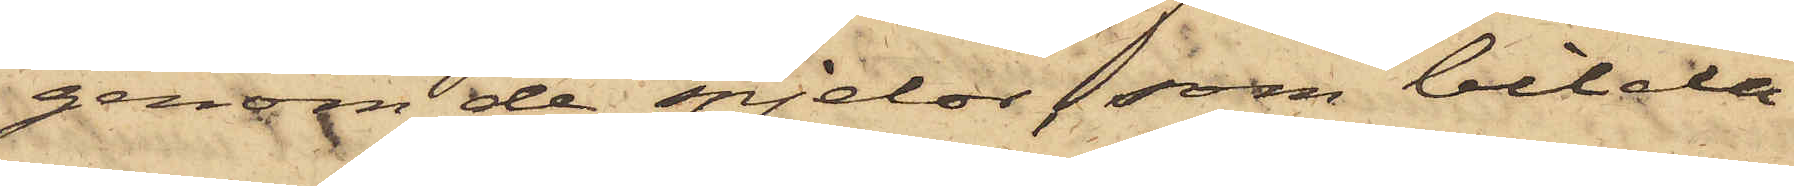genom de spjelor som bilda
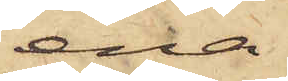ena
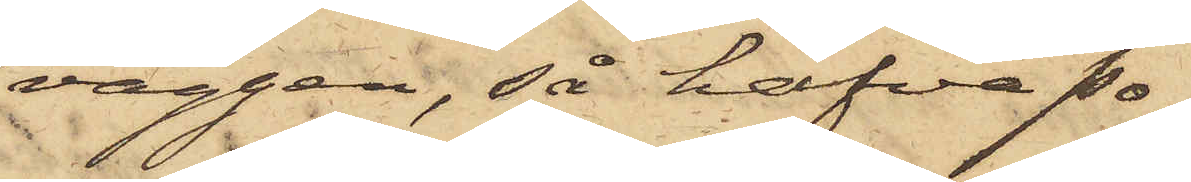väggen, så hafva po¬
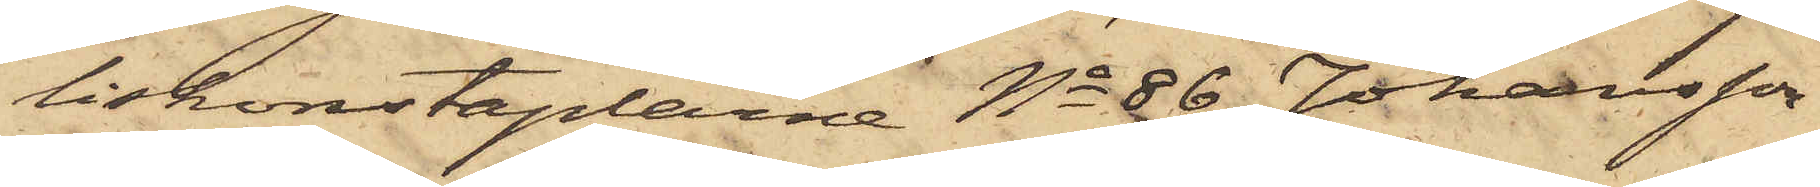liskonstaplarne No 86 Johansson
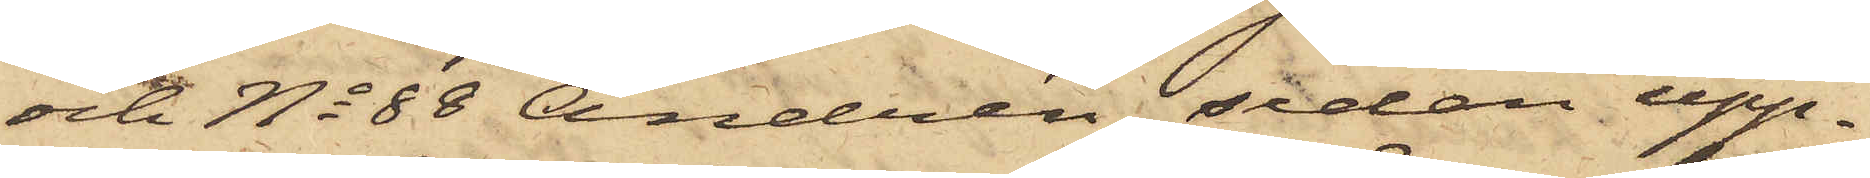och No 88 Andrén, sedan upp¬
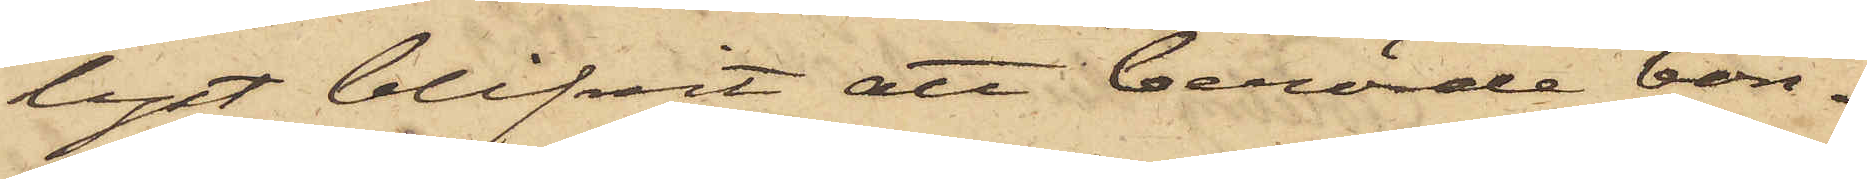lyst blifvit att berörde bon¬
